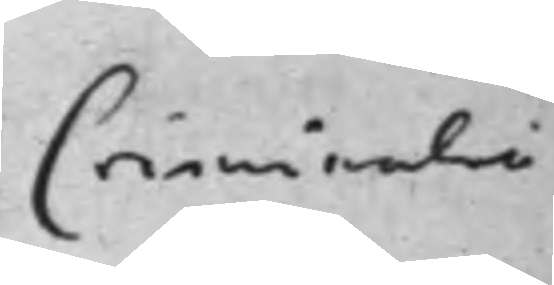Criminali
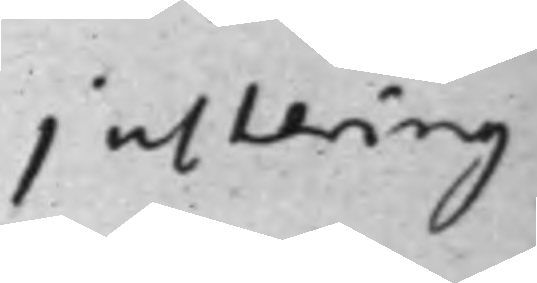justering
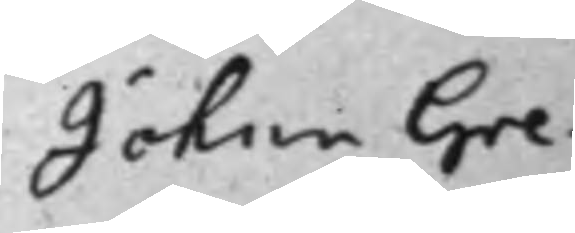Johan Gre¬
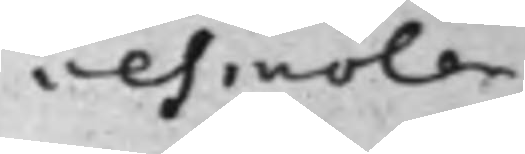vesmölen
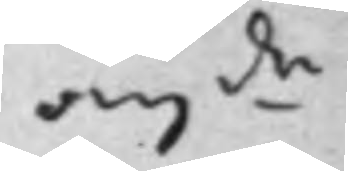ang.de
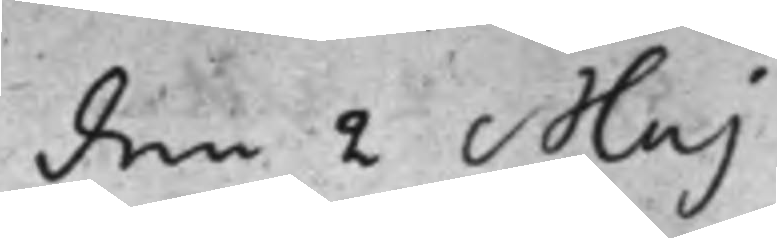den 2 Maj
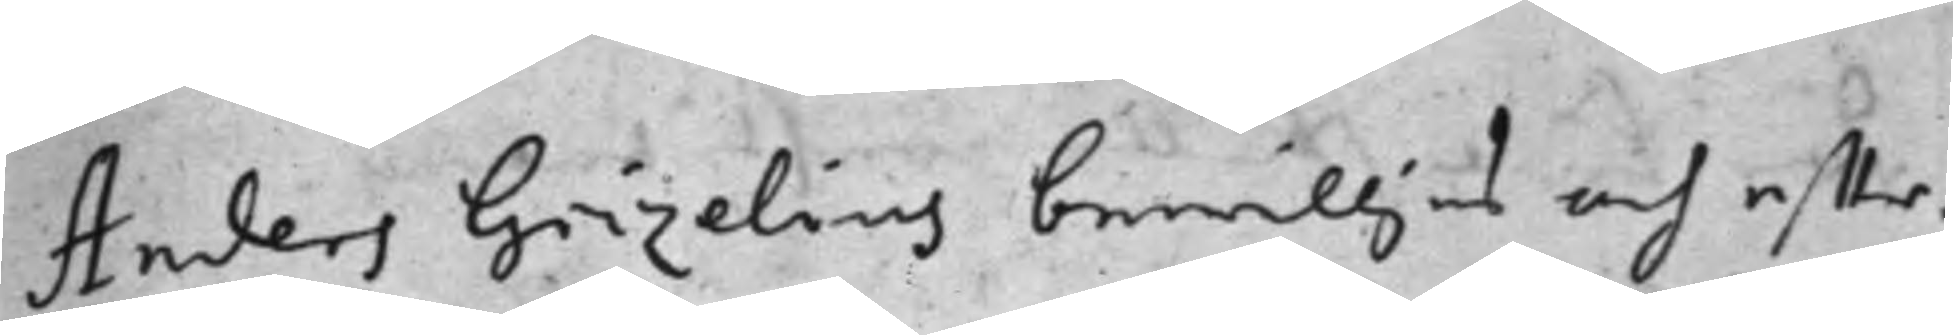Anders Grizelius bewilljas och effter¬
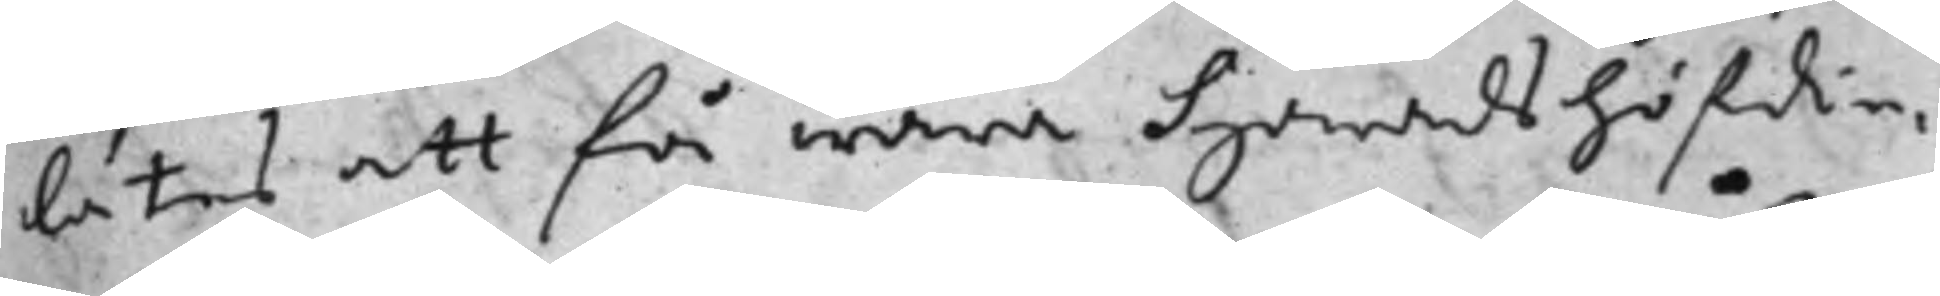låtes att få wara Häradshöfdin¬
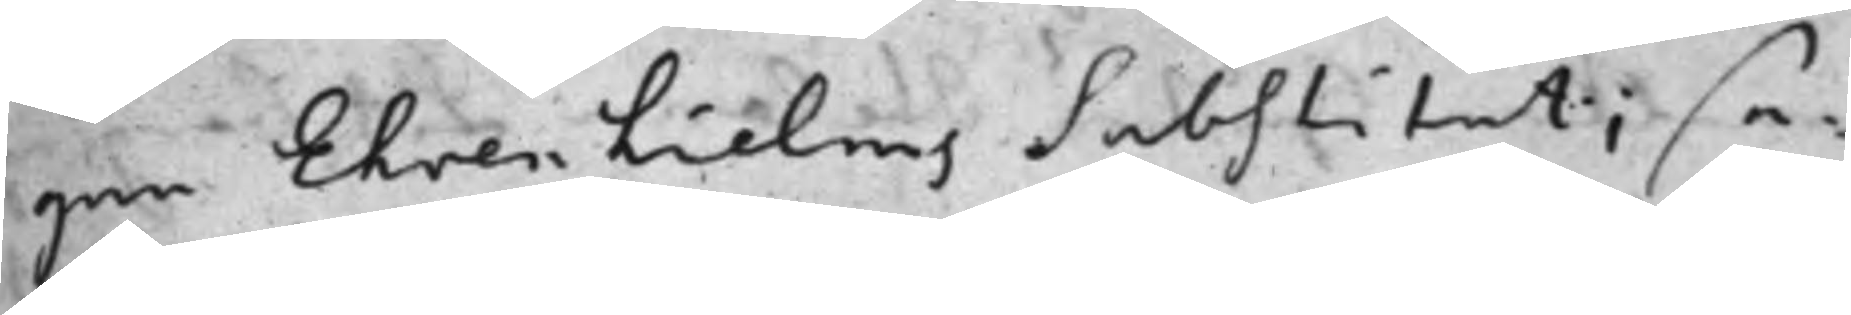gen Ehrenhielms Substitut; se¬
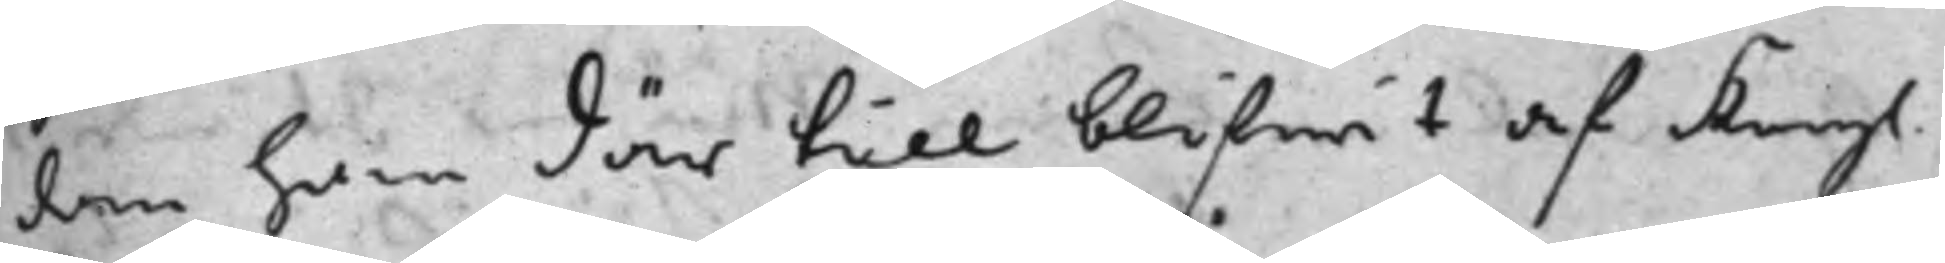dan han där till blifwit af Kongl.
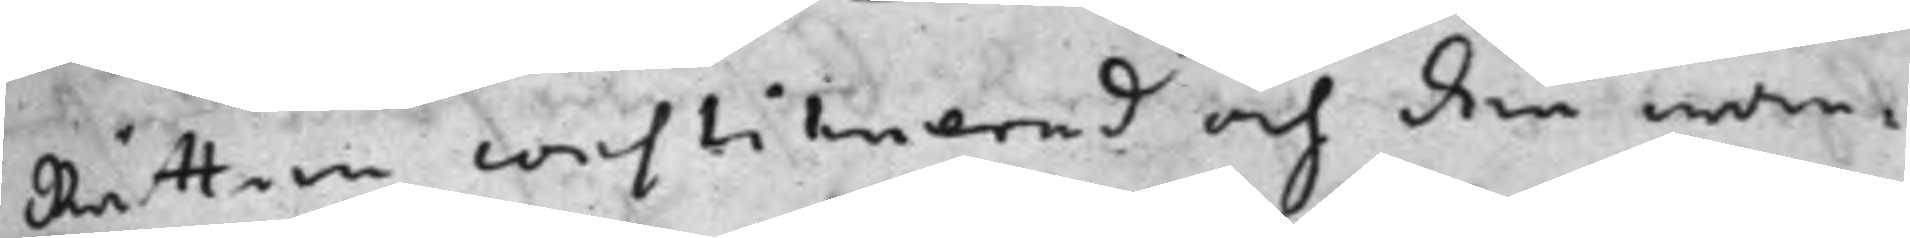Rätten constituerad och den wan¬
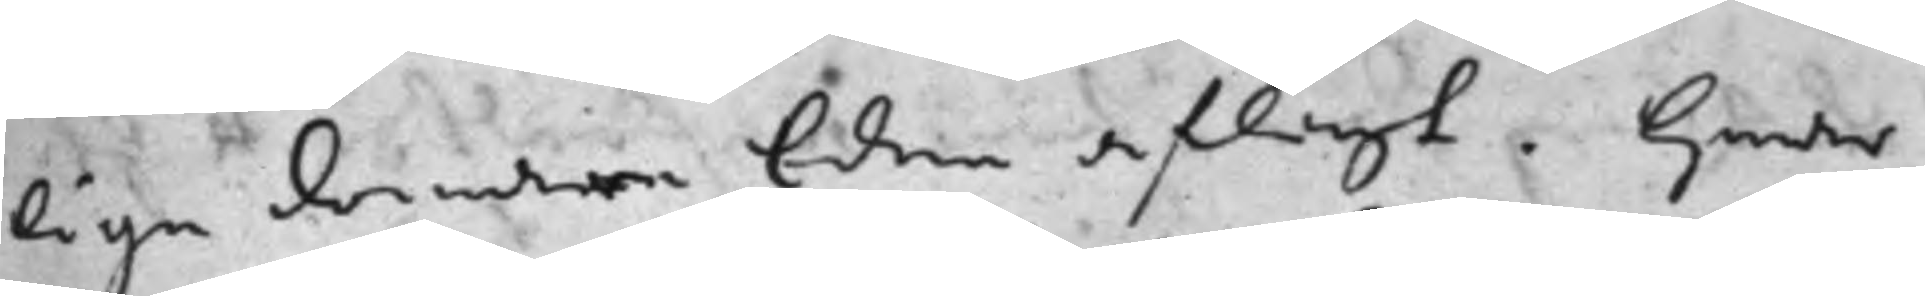lige domare Eden aflagt. Hwar
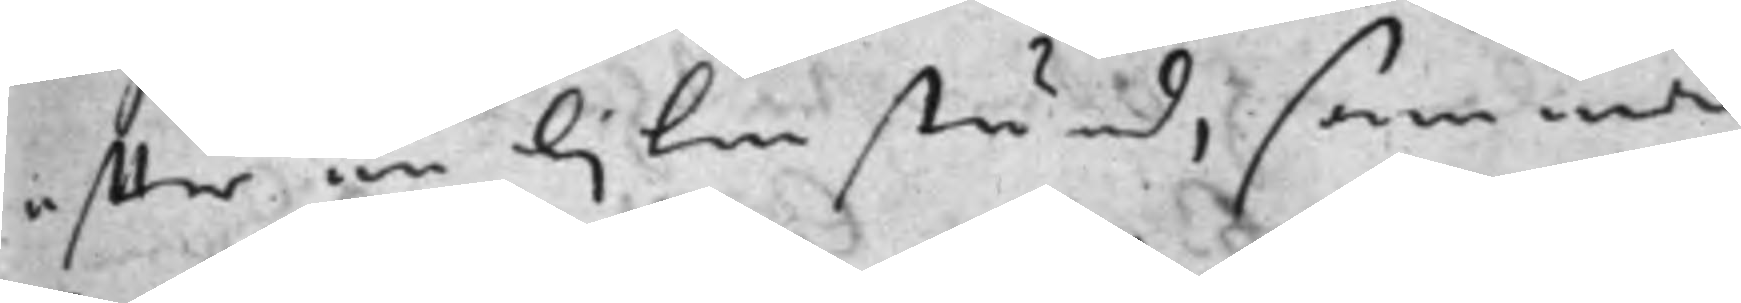effter en liten stund, samma
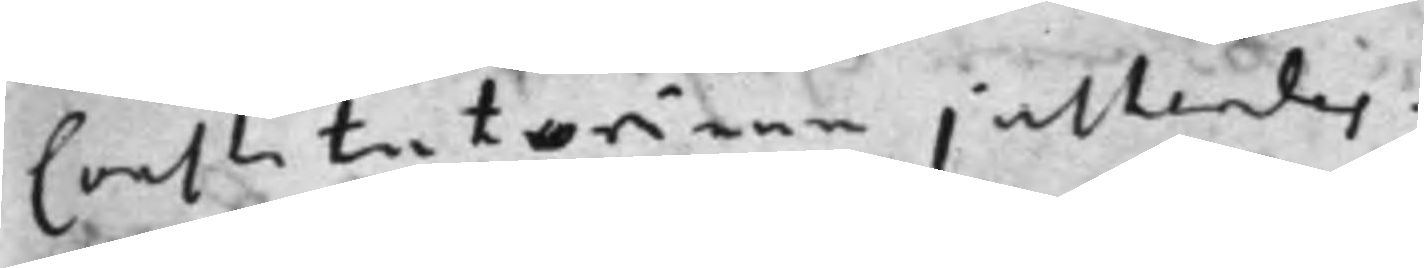Constitutorium justerdes.
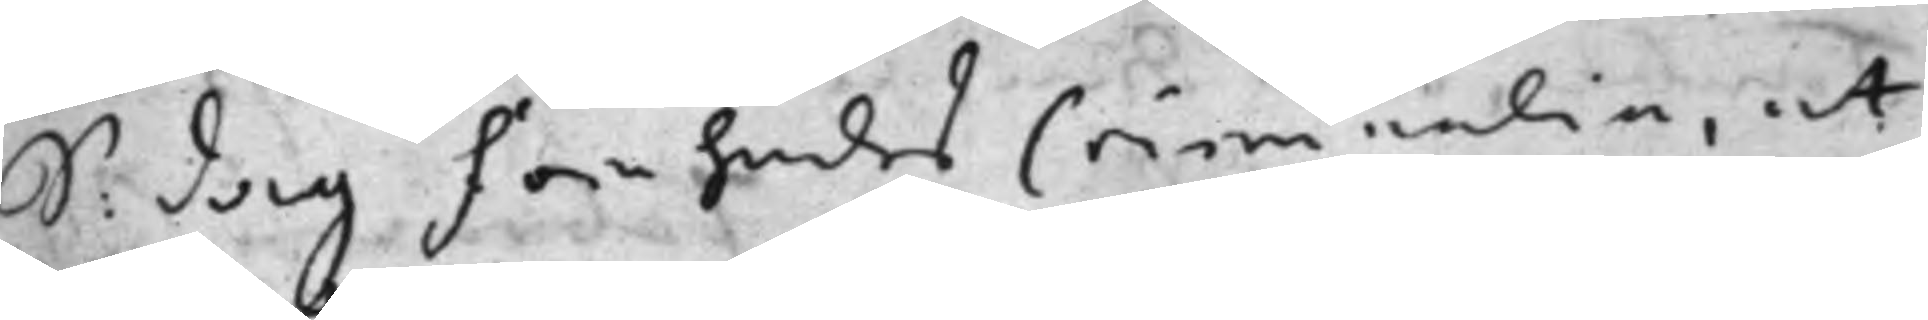S: dag Förehades Criminalia, et
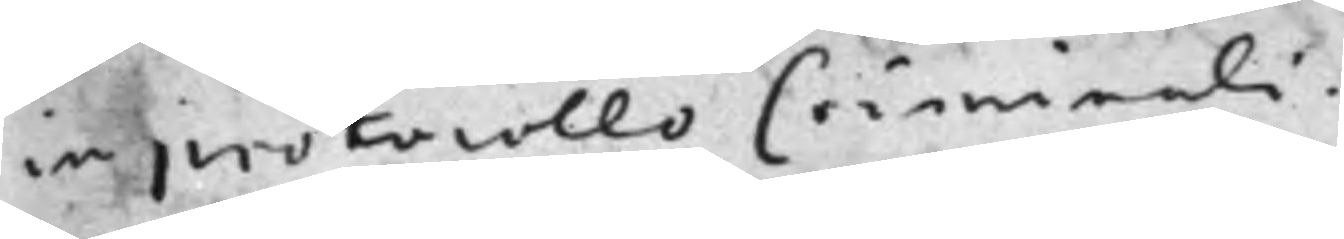in protocollo Criminali.
